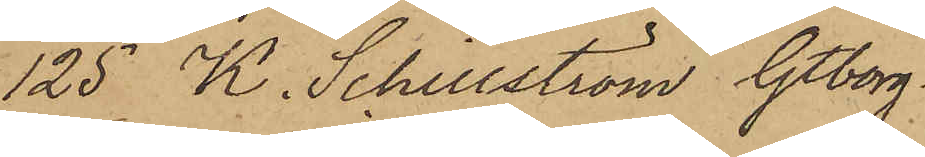125 K. Schillström Gtborg
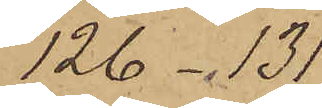126 -131
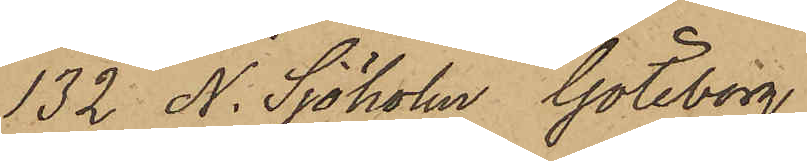132 N. Sjöholm Göteborg
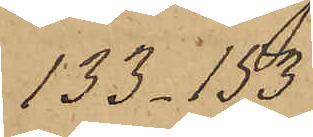133 - 53
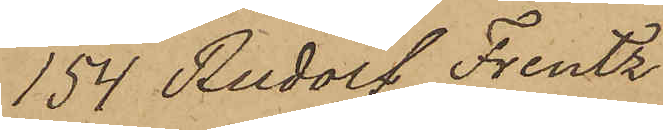154 Rudolf Frentz
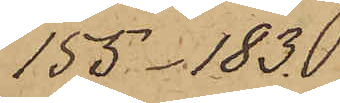155 - 183
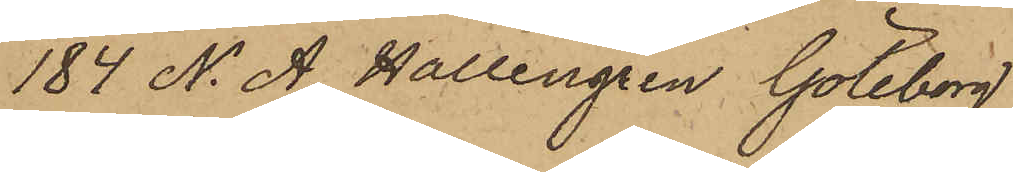184 N. A. Hallengren Göteborg
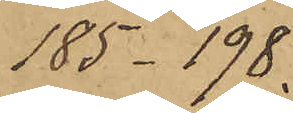185 -198.
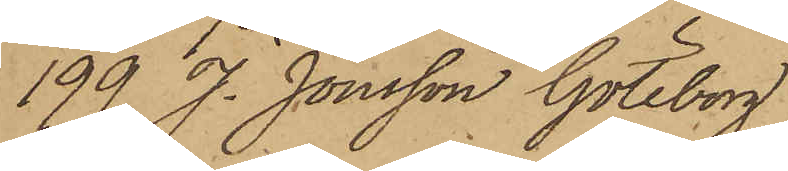199 J. Jönsson Göteborg
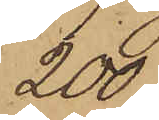200.
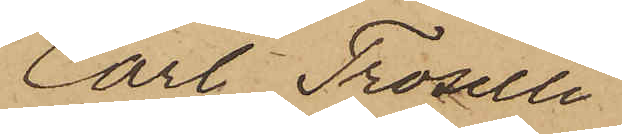Carl Troselli
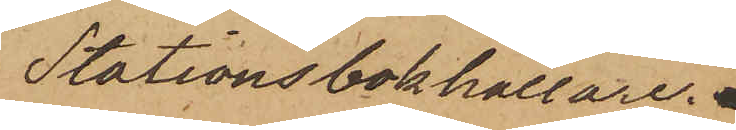Stationsbokhållare"
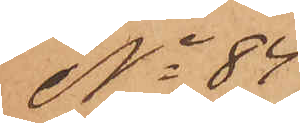No 84
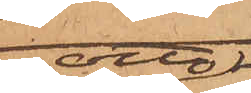Otto
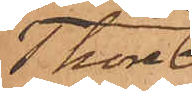Thore¬
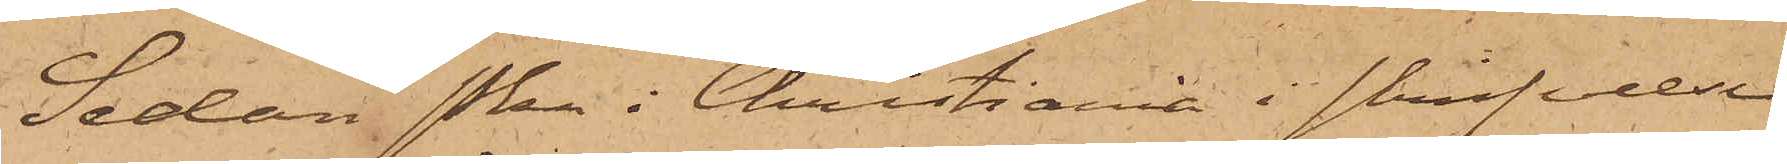Sedan Pkn i Christiania i skrifvelse
